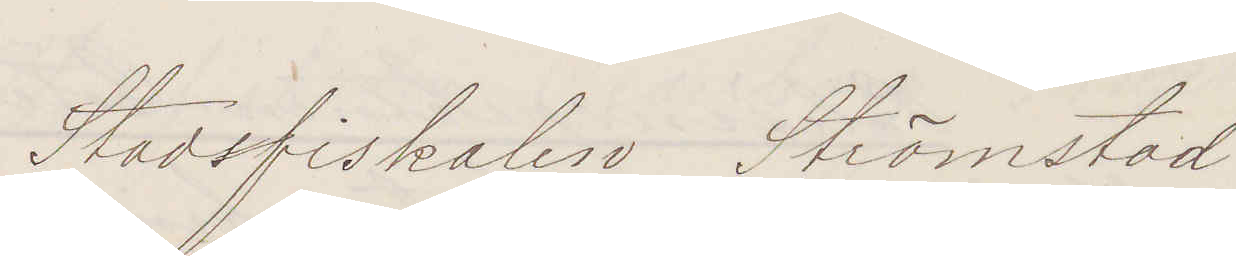Stadsfiskalen Strömstad
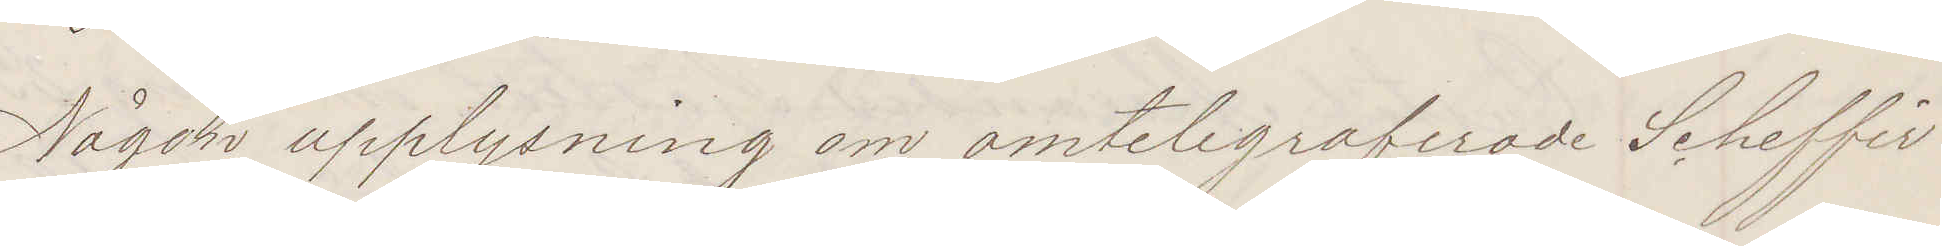Någon upplysning om omtelegraferade Scheffir
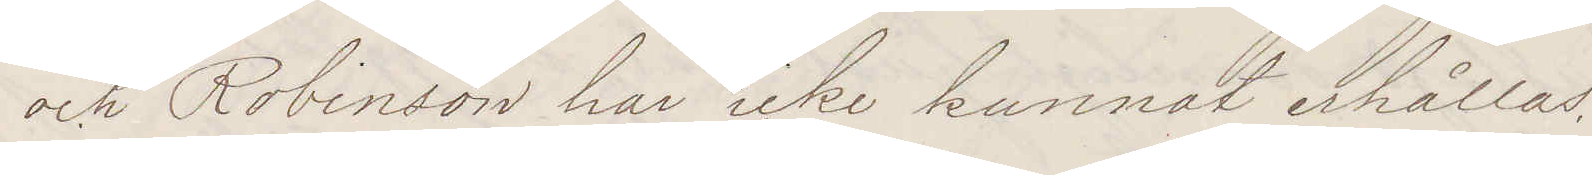och Robinson har icke kunnat erhållas.
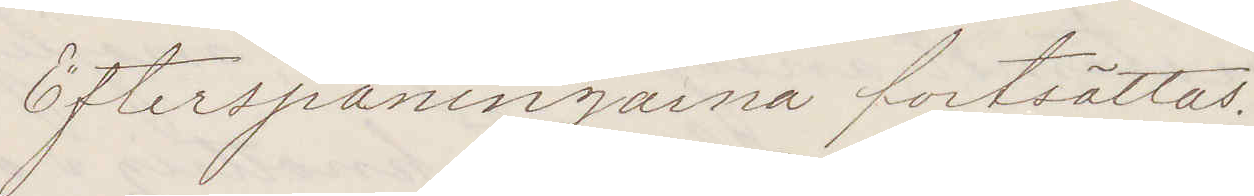Efterspaningarna fortsättas.
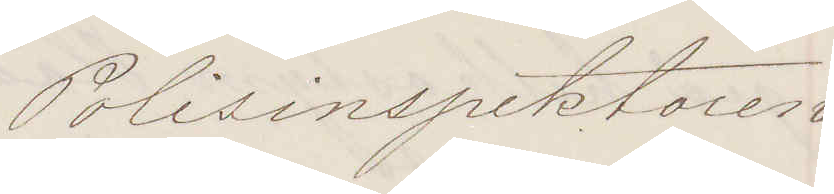Polisinspektoren
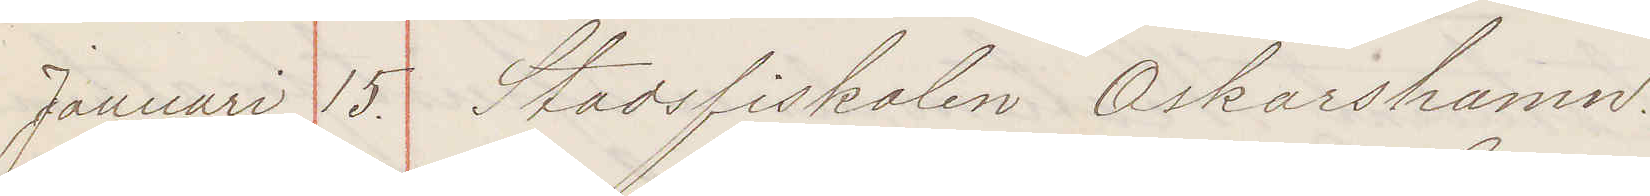Januari 15 Stadsfiskalen Oskarshamn.
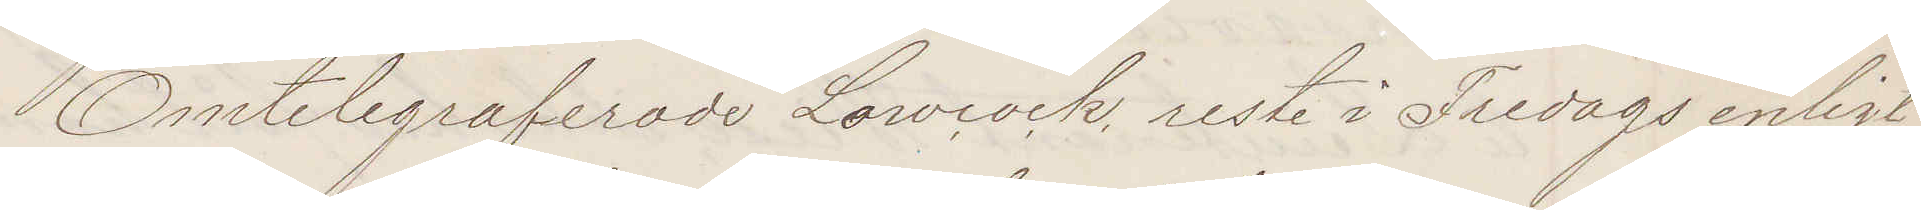Omtelegraferade Lowcock reste i Fredags enligt
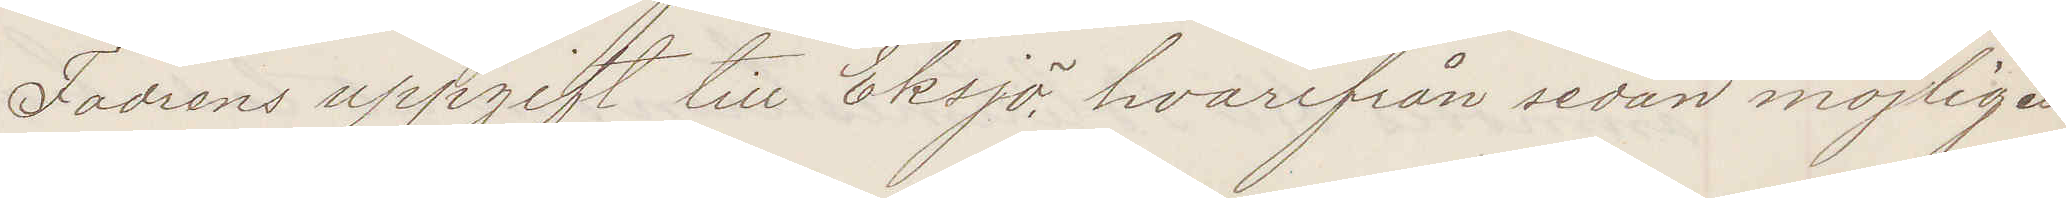Fadrens uppgift till Eksjö, hvarifrån sedan möjligen
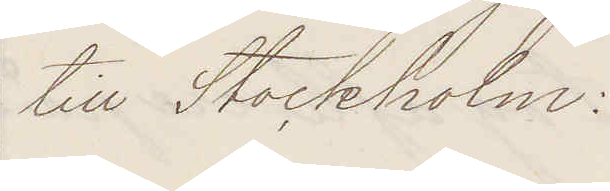till Stockholm:
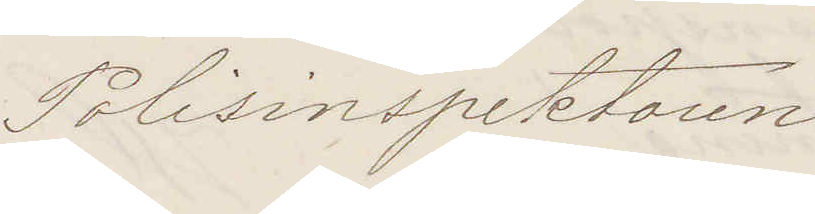Polisinspektoren
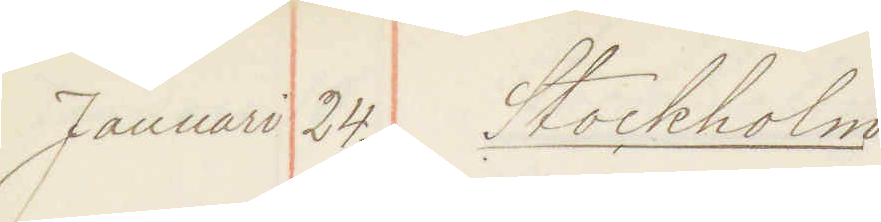Januari 24. Stockholm
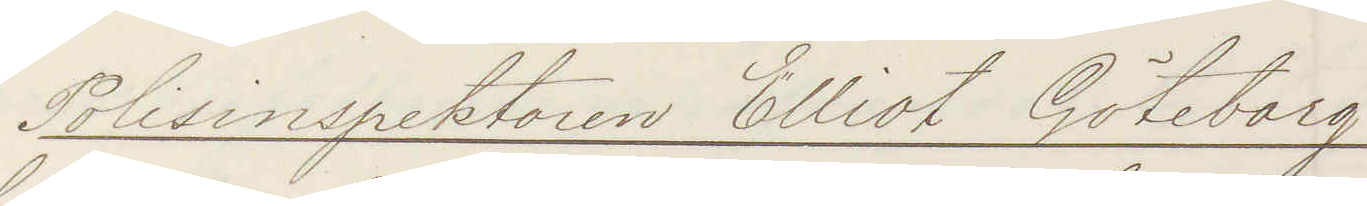Polisinspektoren Elliot Göteborg
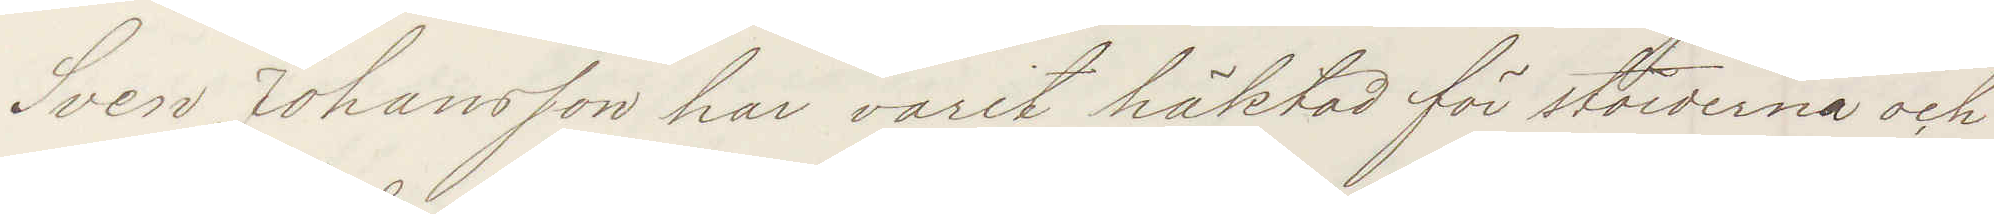Sven Johansson har varit häktad för stölderna och
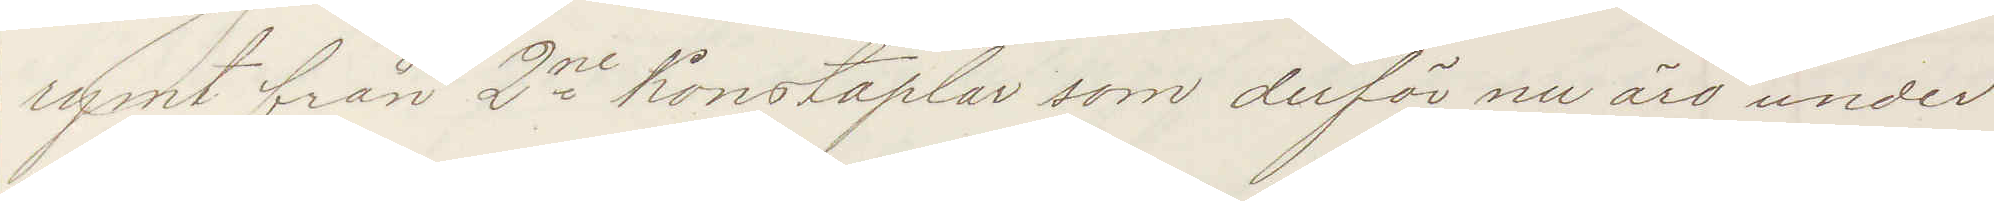rymt från 2ne konstaplar som derför nu äro under
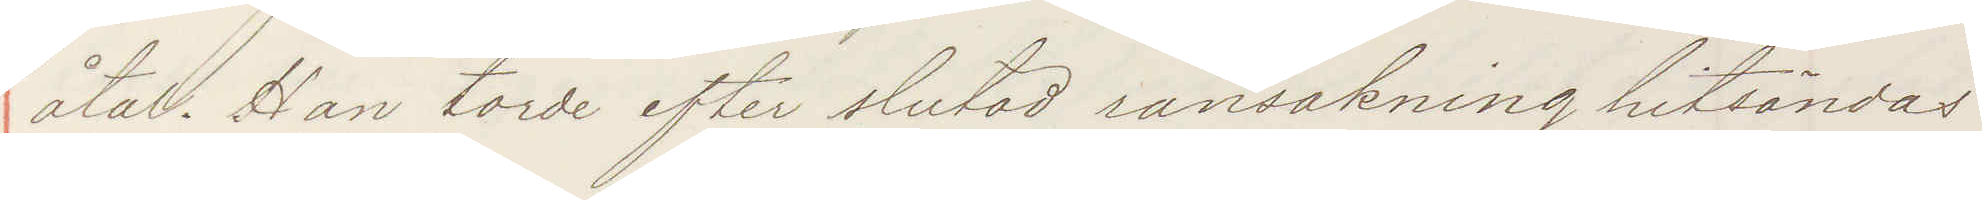åtal. Han torde efter slutad ransakning hitsändas
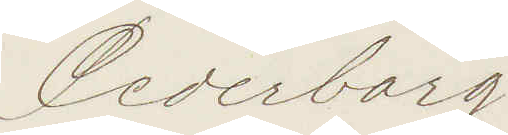Cederborg
